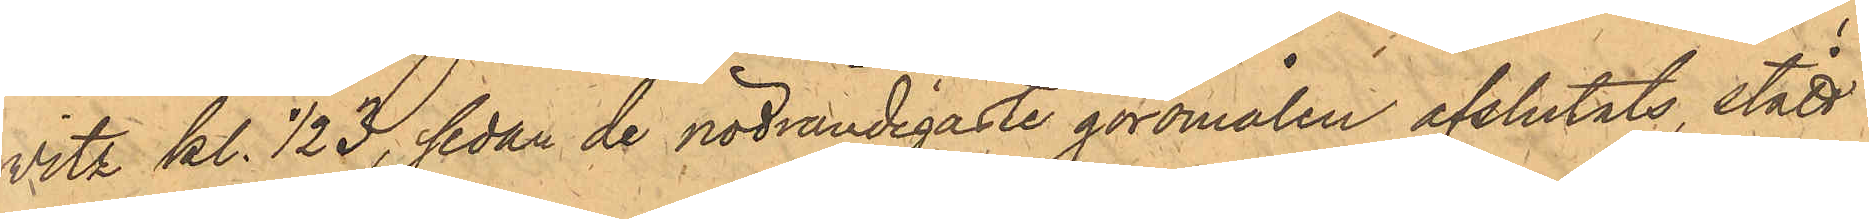vitz kl. 1/2 3, sedan de nödvändigaste göromålen afslutats, stått i
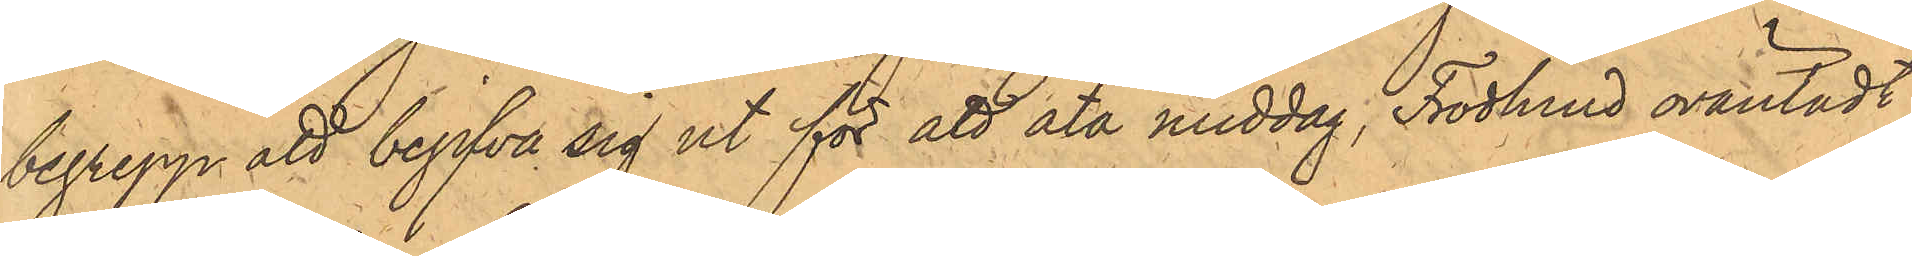begrepp att begifva sig ut för att äta middag, Frodlund oväntadt
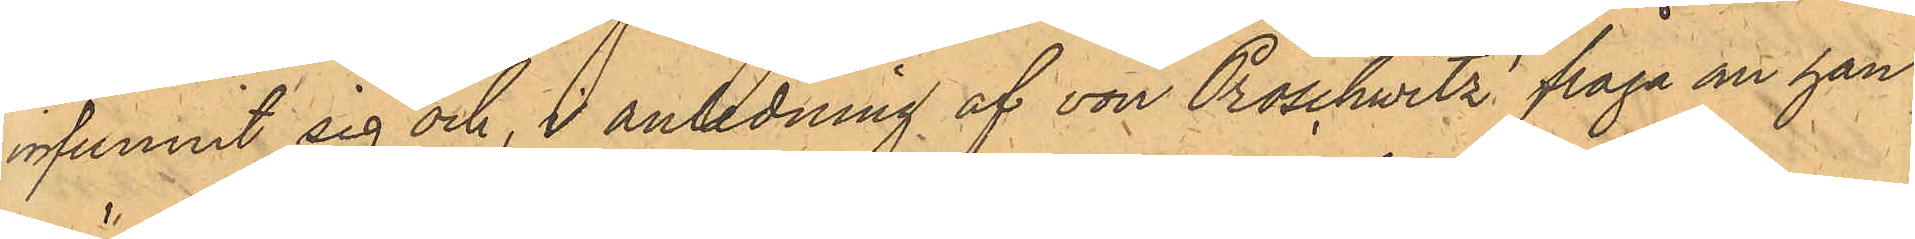infunnit sig och, i anledning af von Proschwitz fråga om han
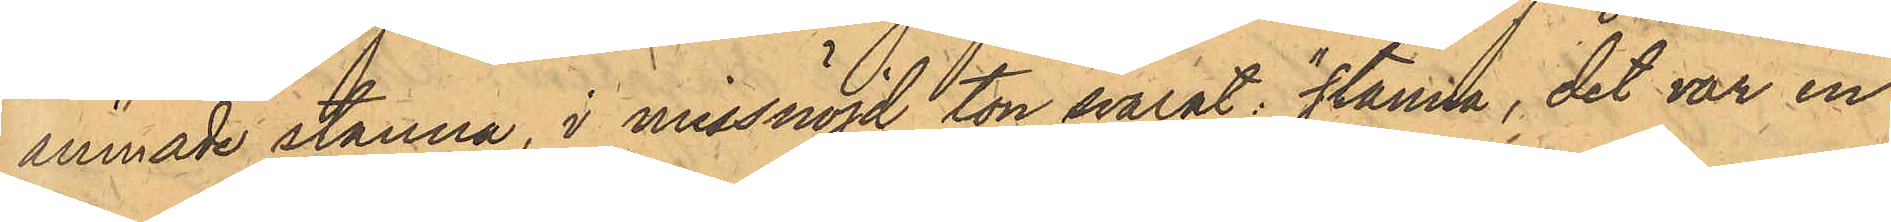ämnade stanna, i missnöjd ton svarat: "stanna, det var en
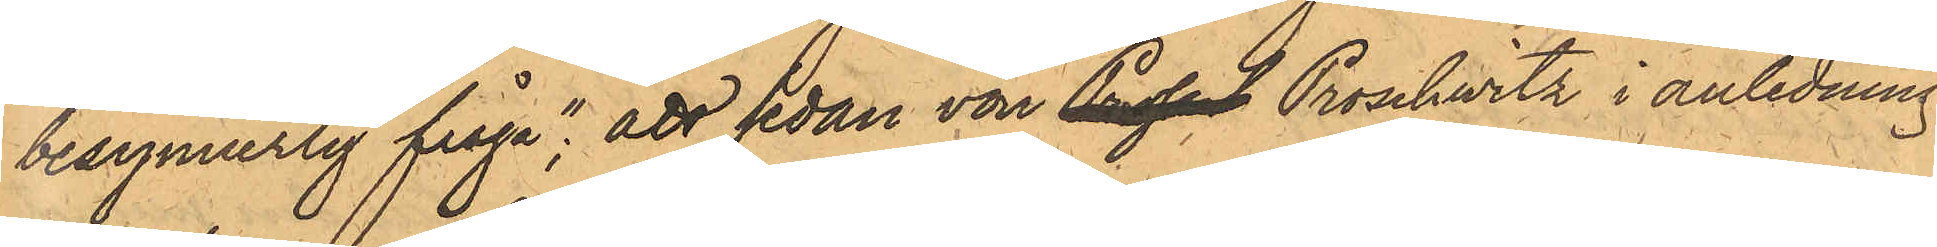besynnerlig fråga"; att sedan von Prossch Proschwitz i anledning
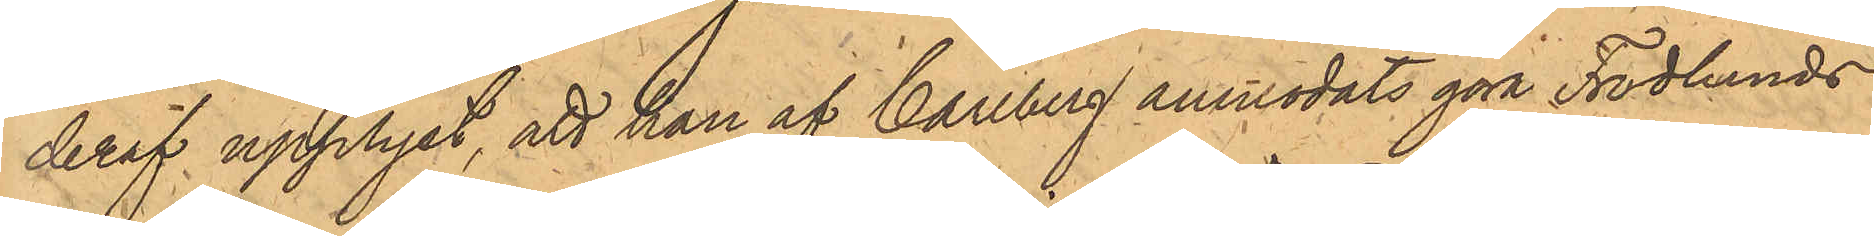deraf upplyst, att han af Carlberg anmodats göra Frodlunds
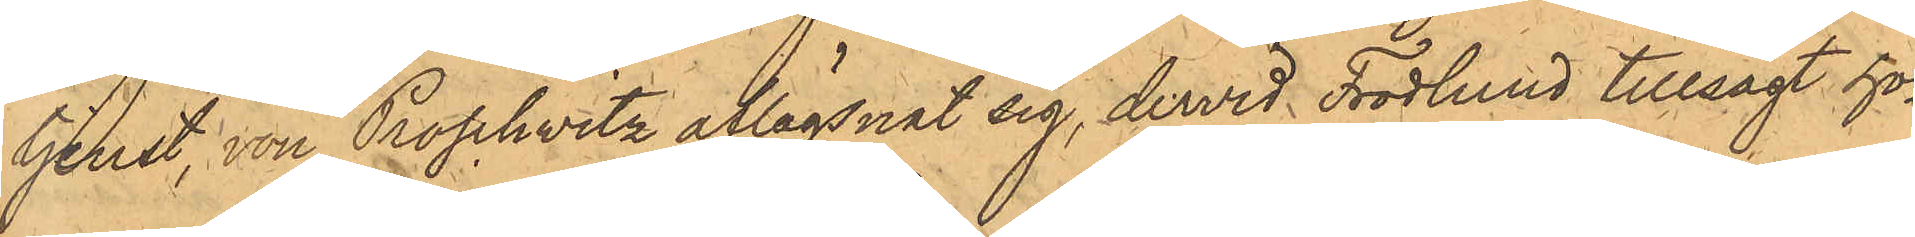tjenst, von Proschwitz aflägsnat sig, dervid Frodlund tillsagt ho¬
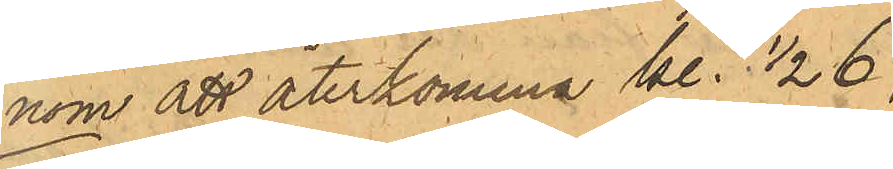nom att återkomma kl. 1/2 6;
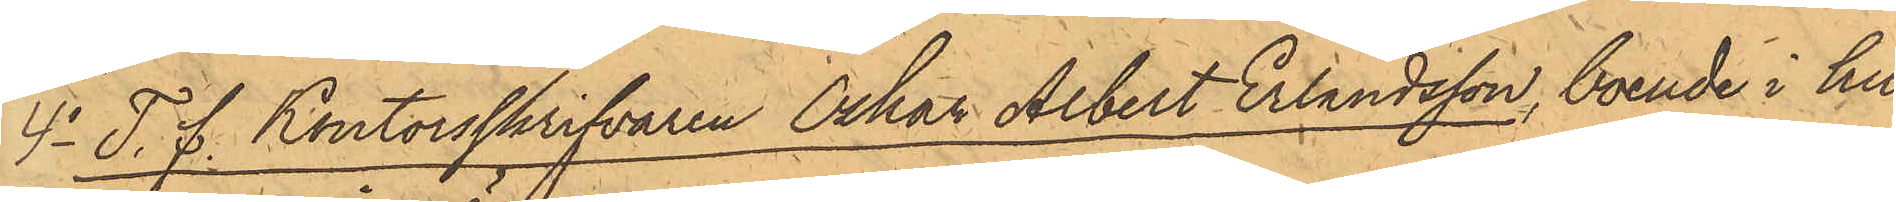4o T. f. Kontorsskrifvaren Oskar Albert Erlandsson, boende i hu¬
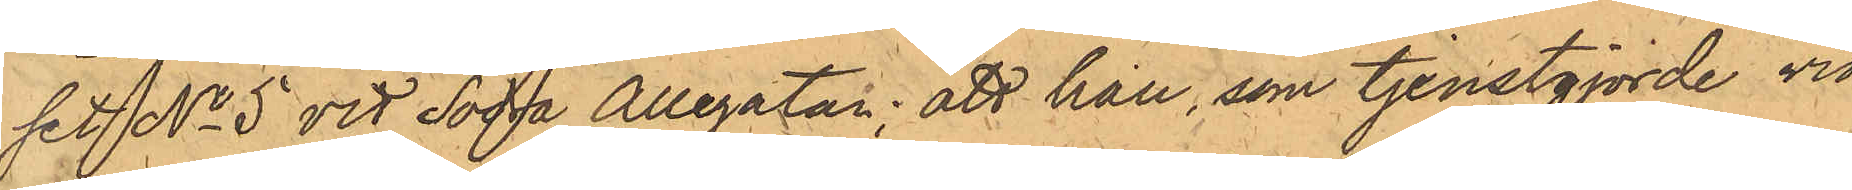set No 5 vid Södra Allégatan; att han, som tjenstgjorde vid
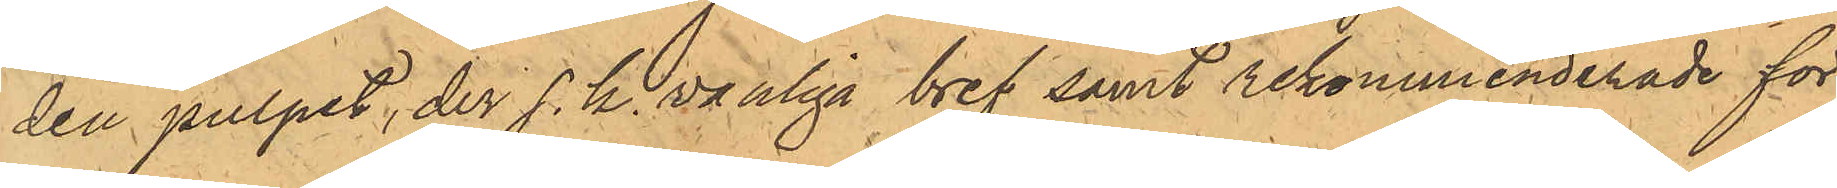den pulpet, der s.k. vanliga bref samt rekommenderade för¬
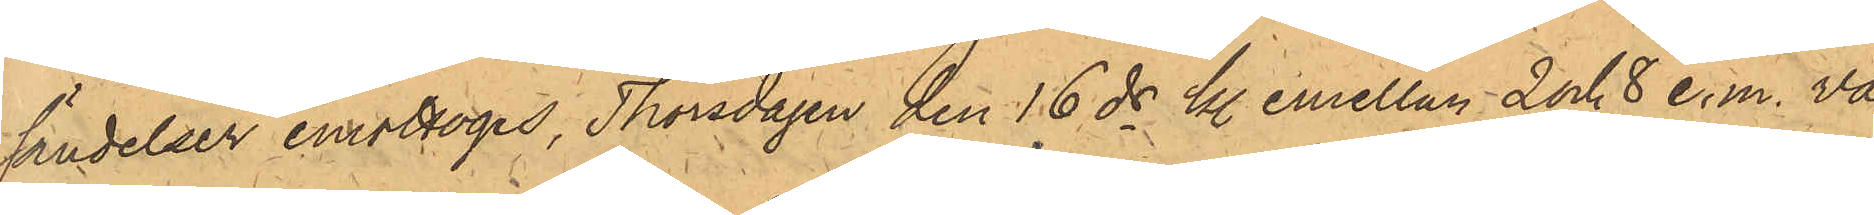sändelser emottoges, Thorsdagen den 16 ds kl. emellan 2 och 8 e.m. va¬
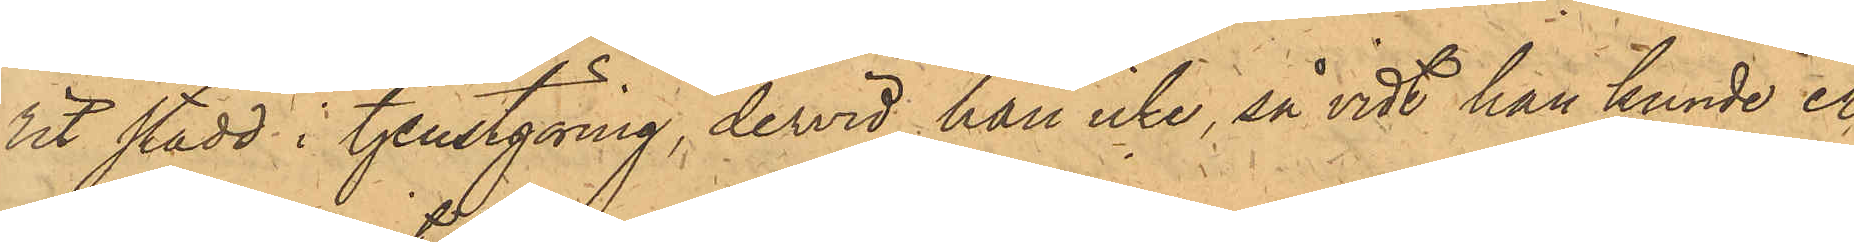rit stadd i tjenstgöring, dervid han icke, så vidt han kunde er¬
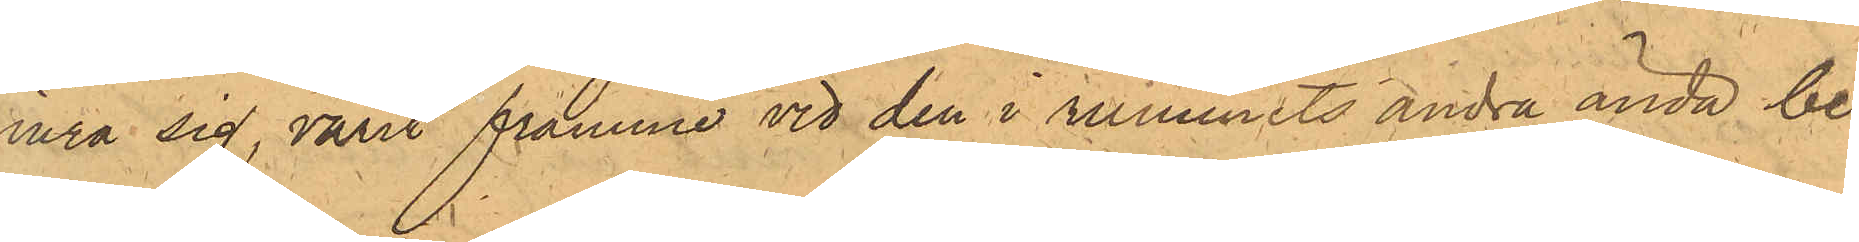inra sig, varit framme vid den i rummets andra ända be¬
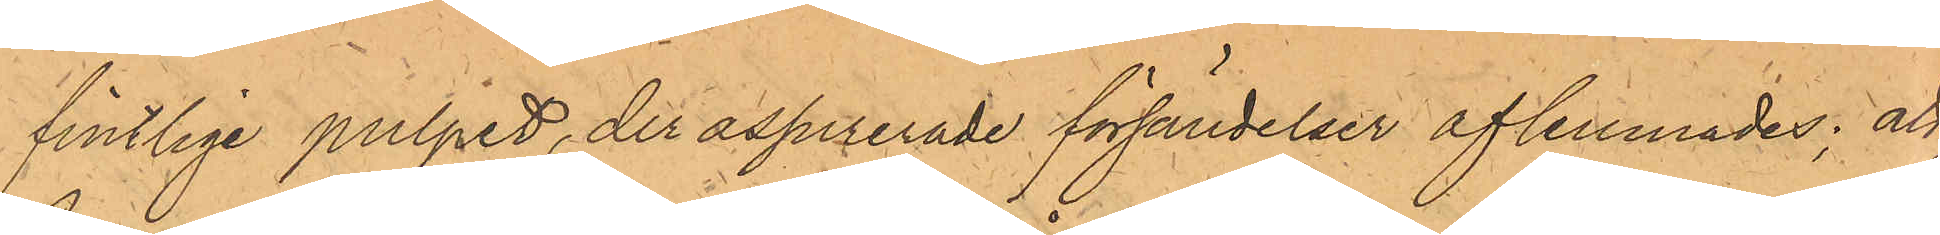fintlige pulpet, der assurerade försändelser aflemnades; att
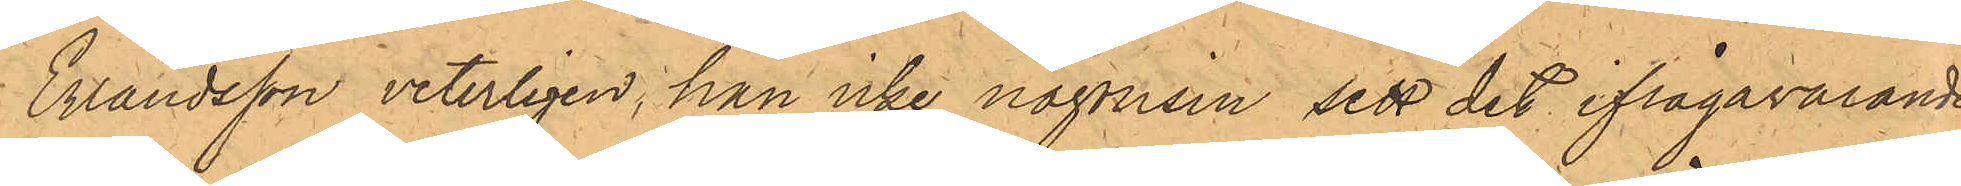Erlandsson veterligen, han icke någonsin sett det ifrågavarande
